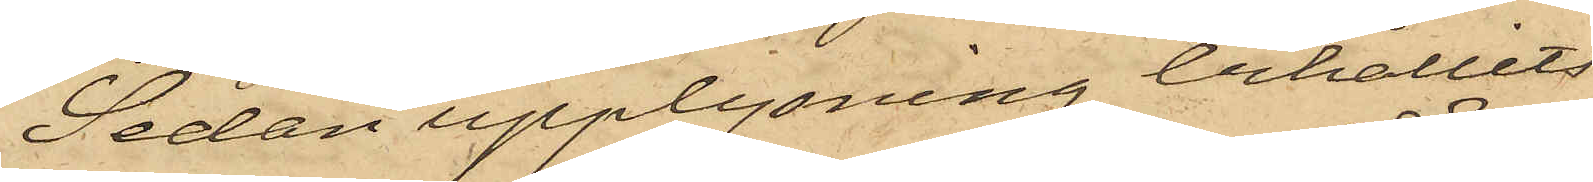Sedan upplysning behållits
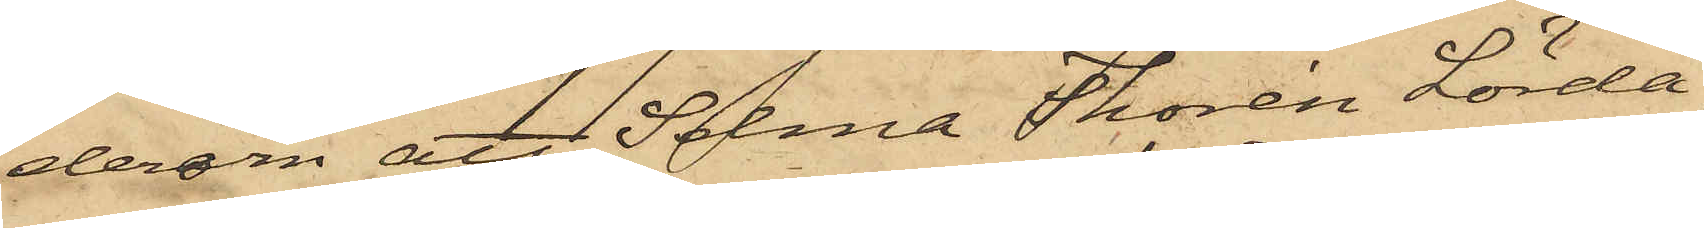derom att Selma Thorén Lörda¬
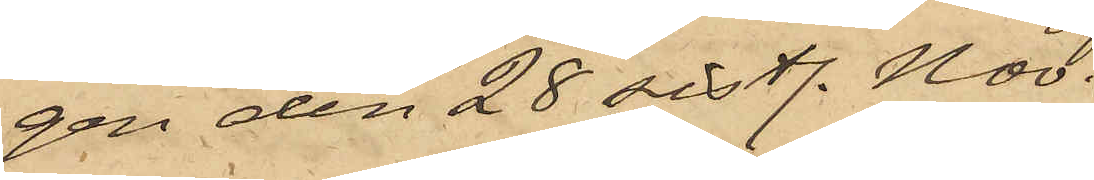gen den 28 sistl. Nov.
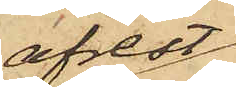afrest
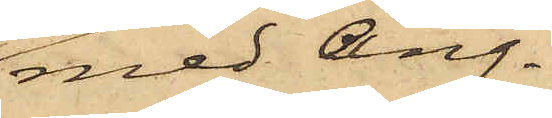med Ång¬
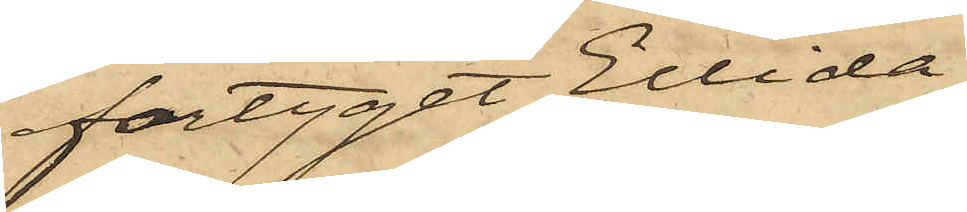fartyget Ellida
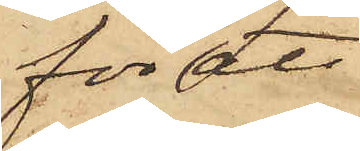för att
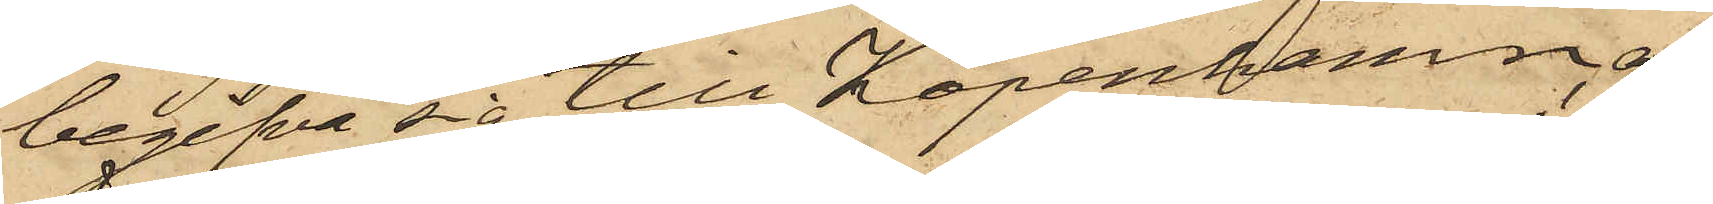begifva sig till Köpenhamn, af¬
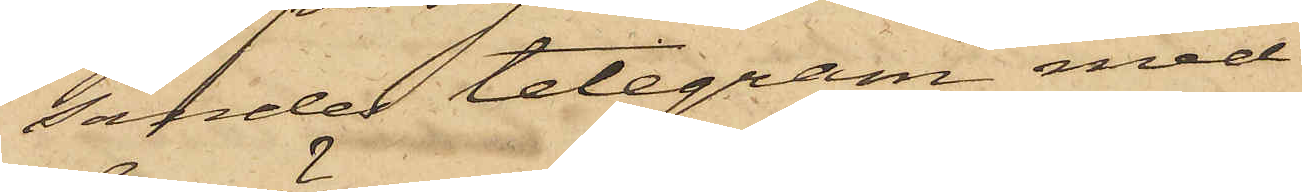sändes telegram med
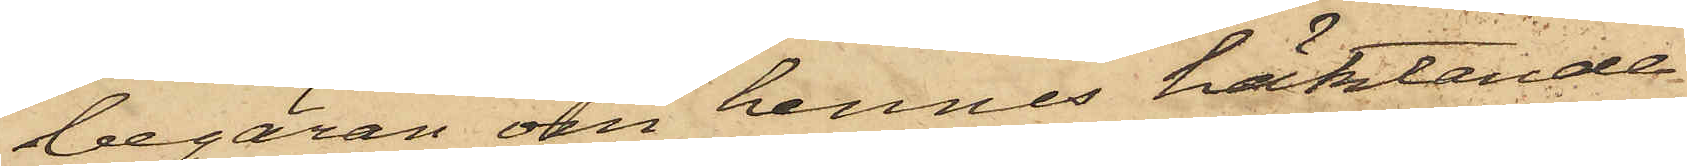begäran om hennes häktande
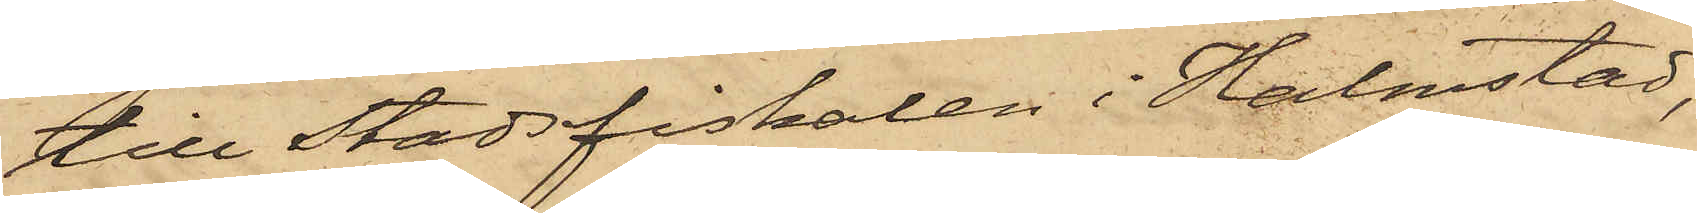till Stadsfiskalen i Halmstad,
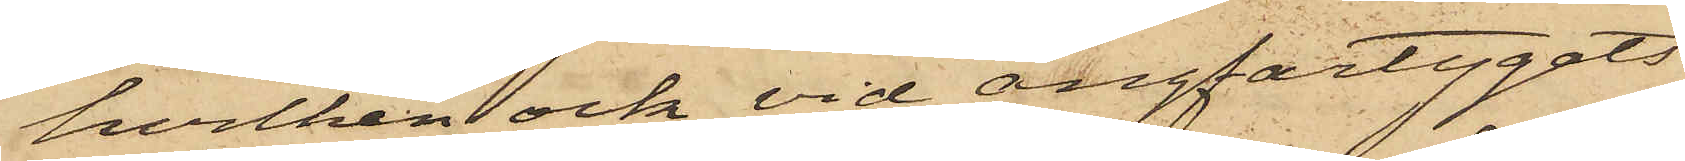hvilken ock vid ångfartygets
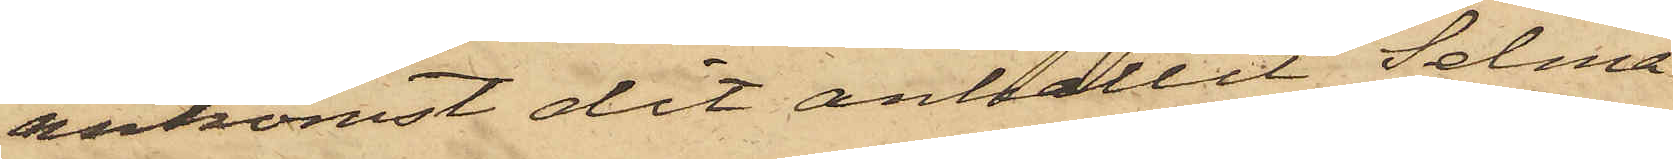ankomst dit anhållit Selma
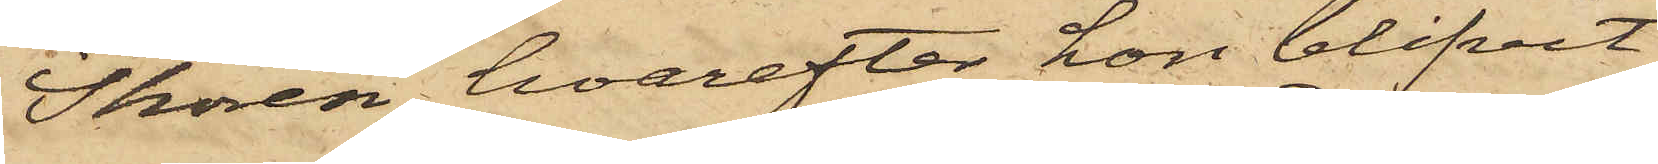Thorén, hvarefter hon blifvit
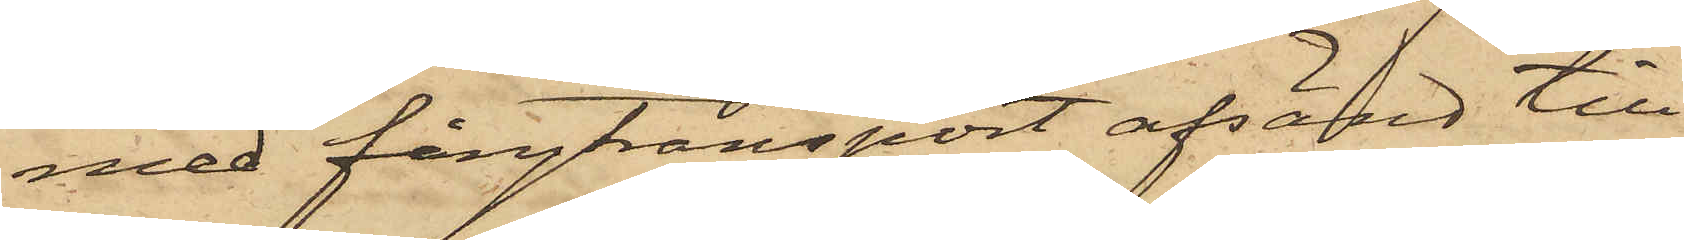med fångtransport afsänd till
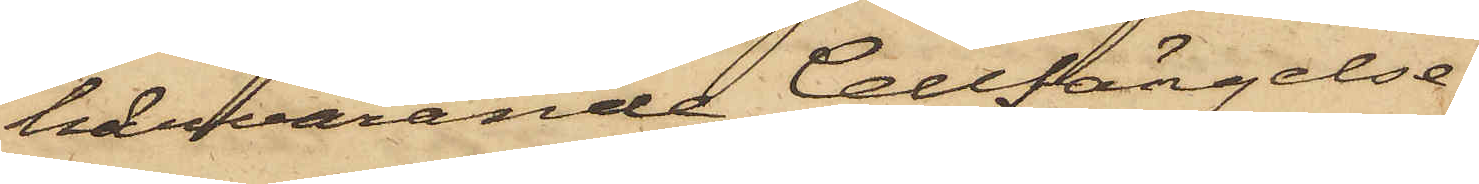härvarande Cellfängelse.
